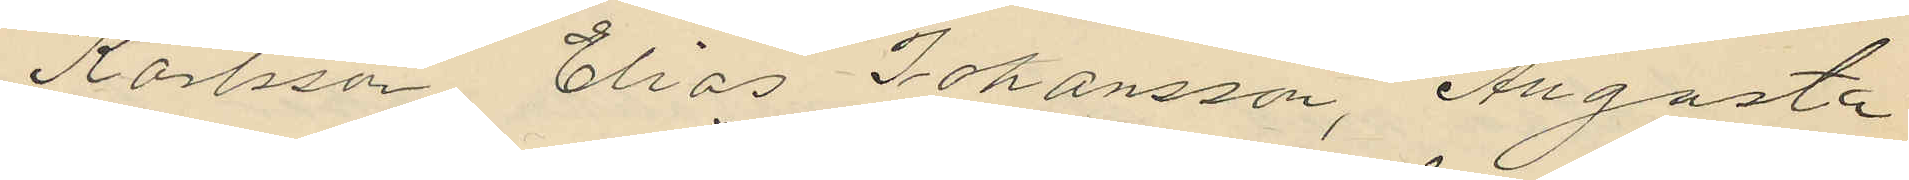Karlsson Elias Johansson, Augusta
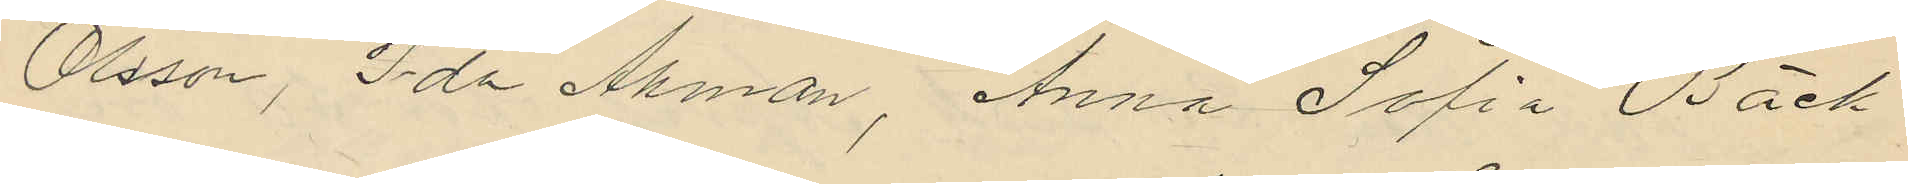Olsson, Ida Åhman, Anna Sofia Bäck¬
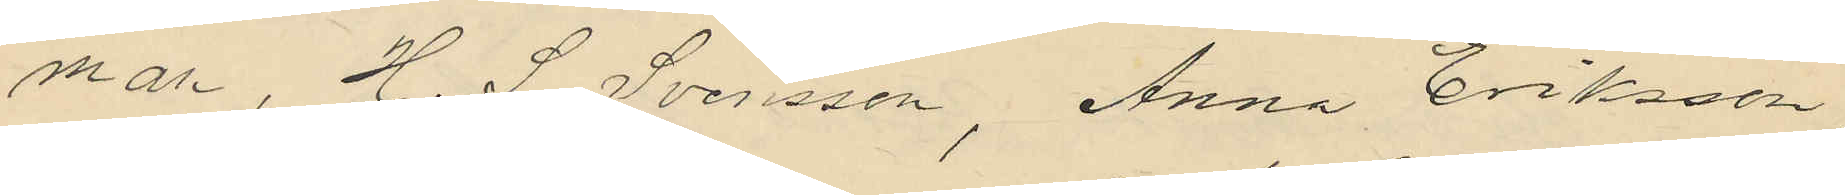man, H. S. Svensson, Anna Eriksson
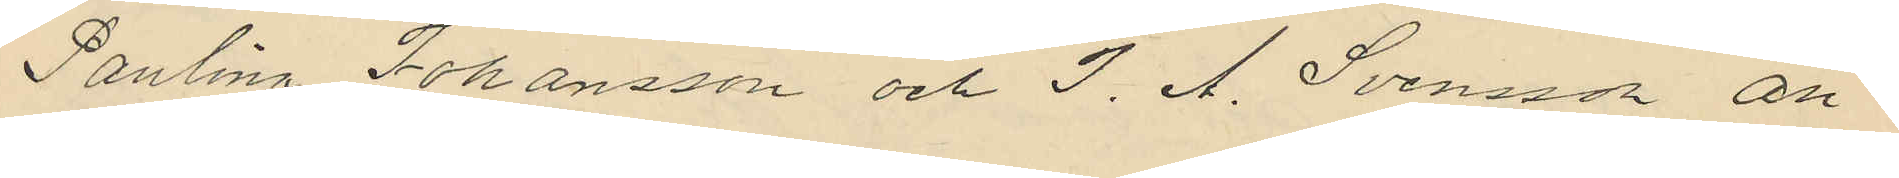Paulina Johansson och J. A. Svensson an¬
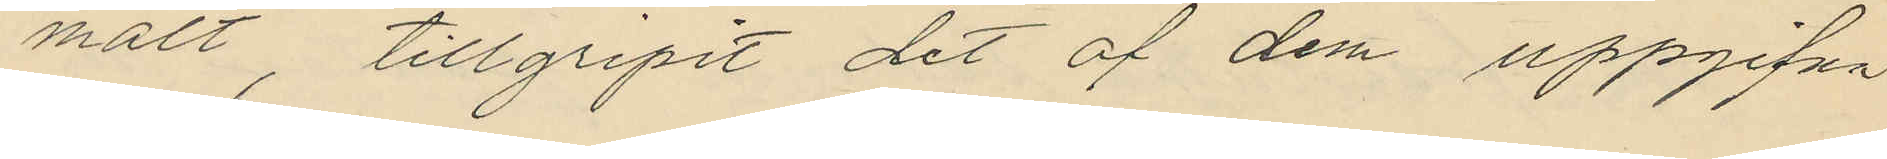mält, tillgripit det af dem uppgifna
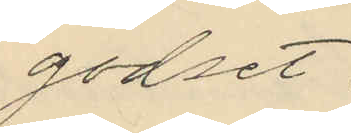godset;
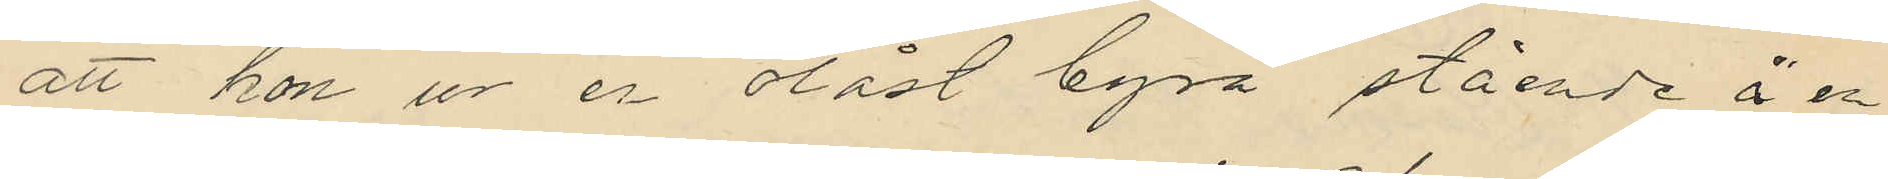att hon ur er olåst byrå stående å en
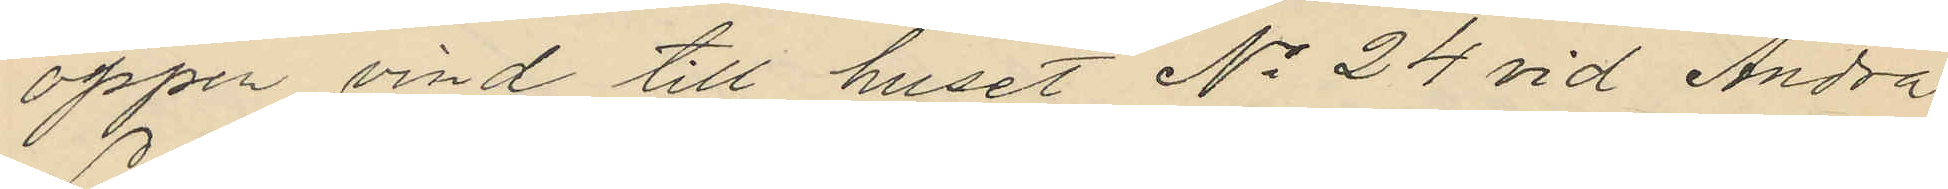öppen vind till huset No 24 vid Andra
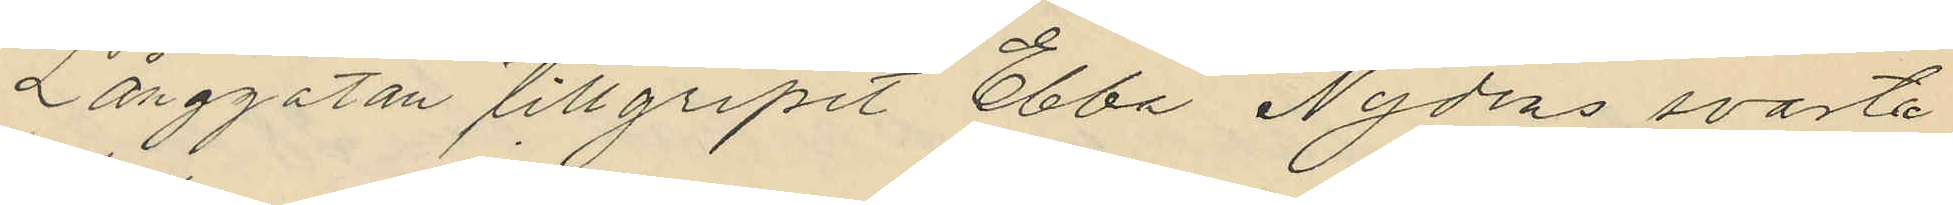Långgatan tillgripit Ebba Nydéns svarta
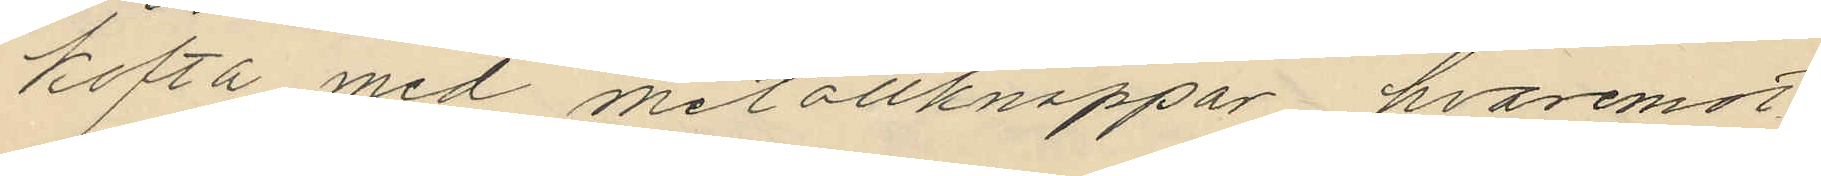kofta med metallknappar hvaremot
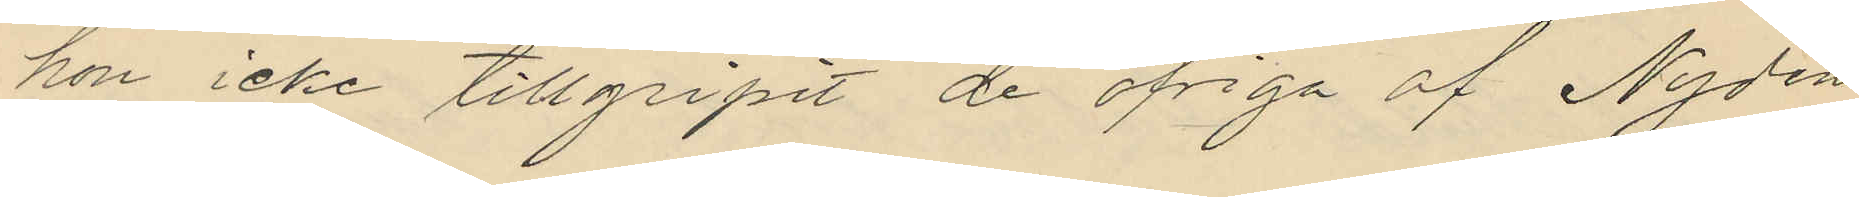hon icke tillgripit de öfriga af Nydén
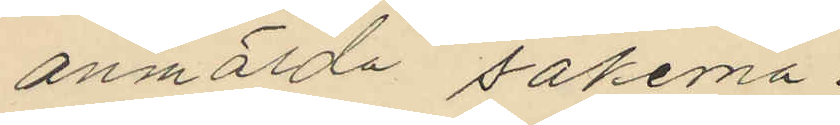anmälda sakerna;
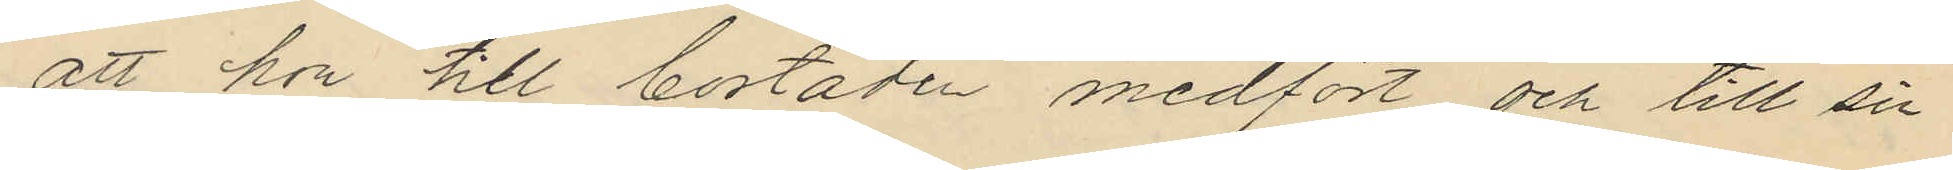att hon till bostaden medfört och till sin
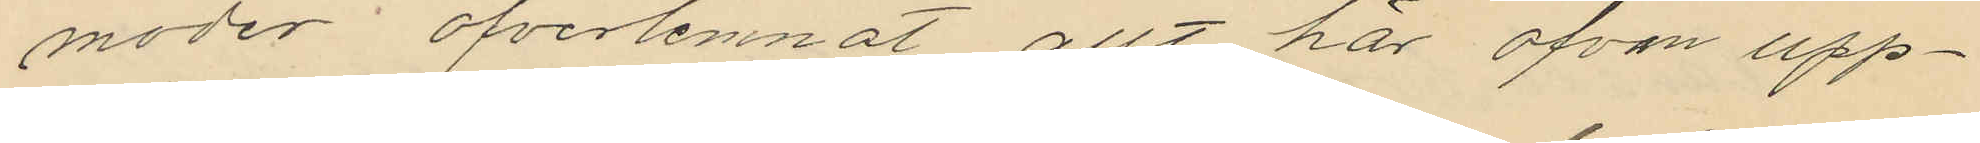moder öfverlemnat allt här ofvan upp¬
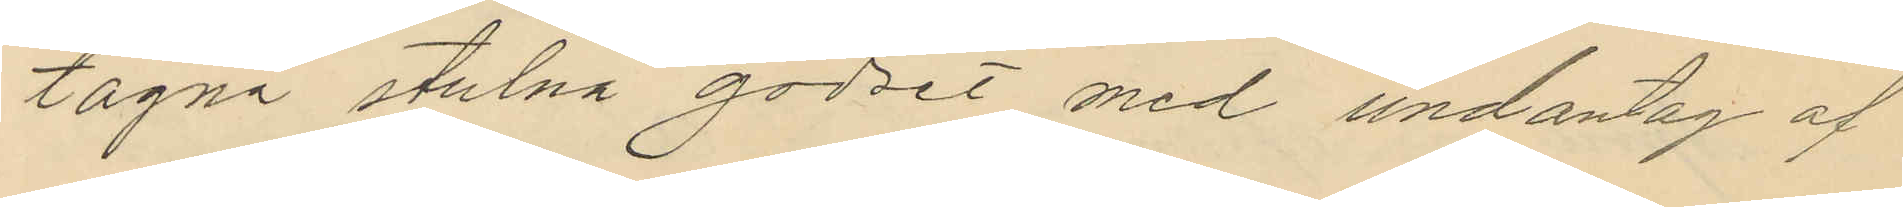tagna stulna godset med undantag af
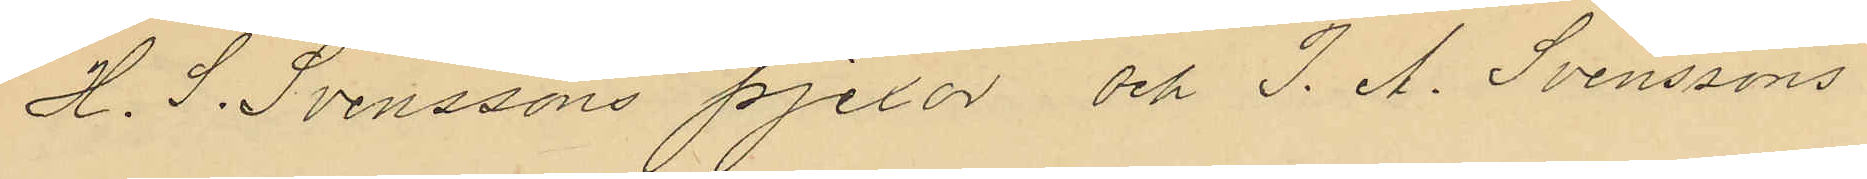H. S. Svenssons pjexor och J. A. Svenssons
